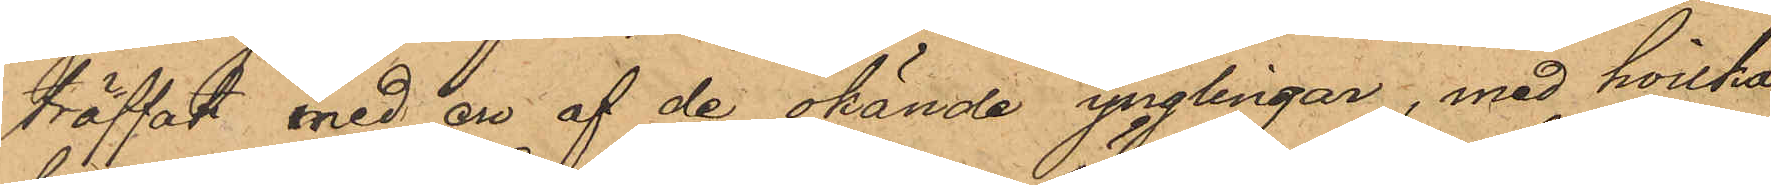träffat med en af de okände ynglingar, med hvilka
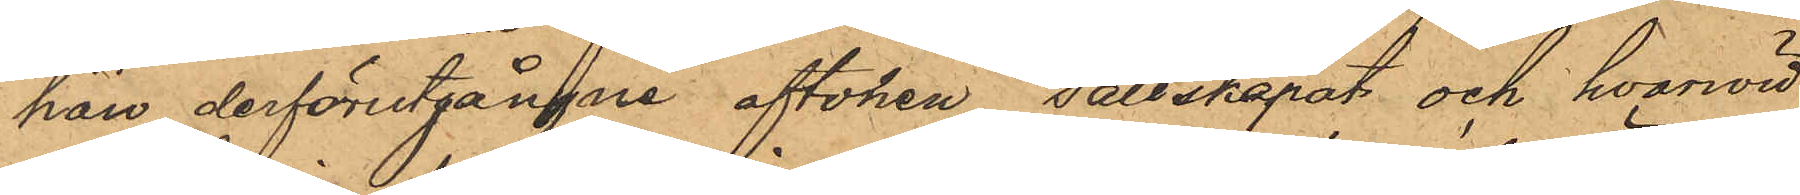han derförutgångne aftonen sällskapat och hvarwid
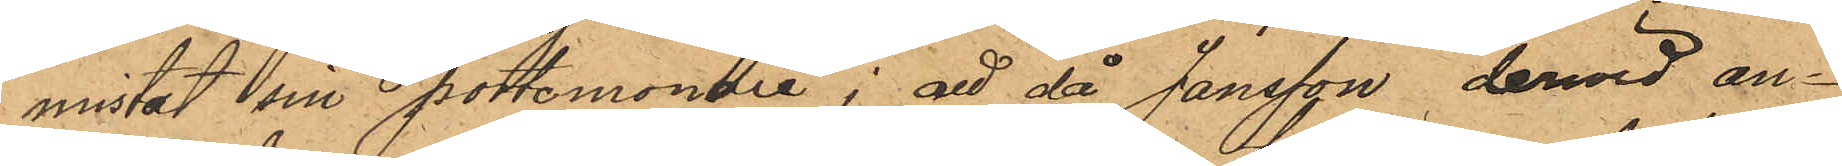mistat sin portemonaie; att då Jansson dervid an¬
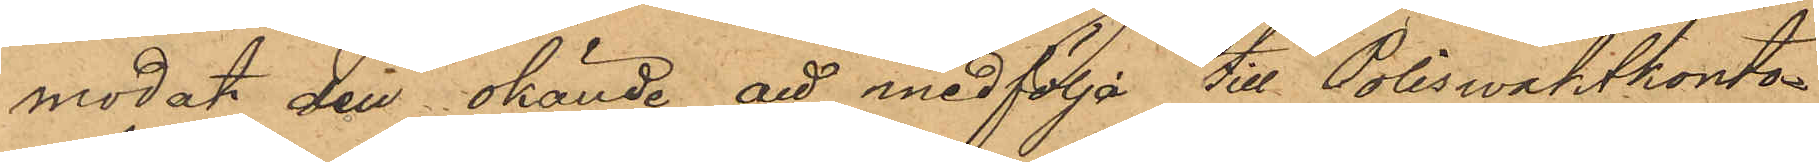modat den okände att medfölja till Poliswaktkonto¬
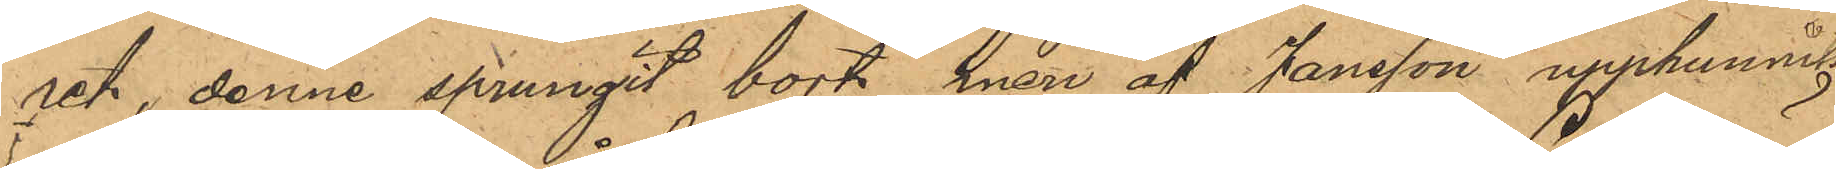ret, denne sprungit bort, men af Jansson upphunnits
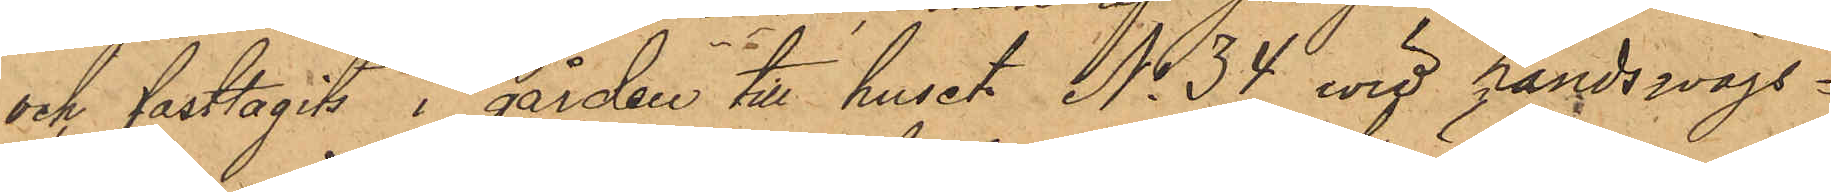och fasttagits i gården till huset No 34 wid Landswägs¬
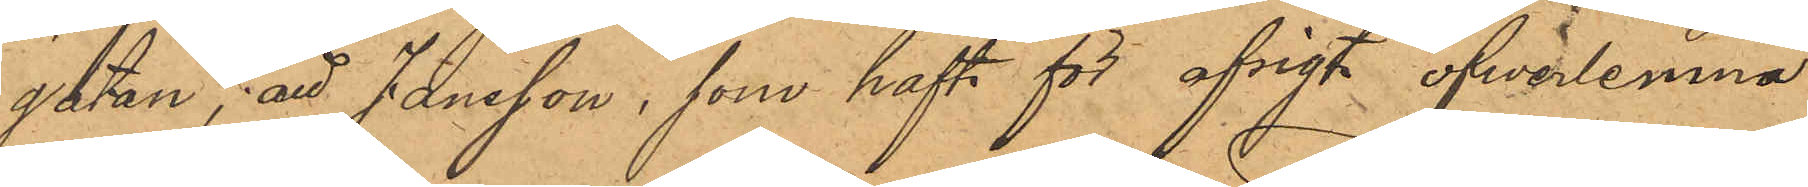gatan; att Jansson, som haft för afsigt öfwerlemna
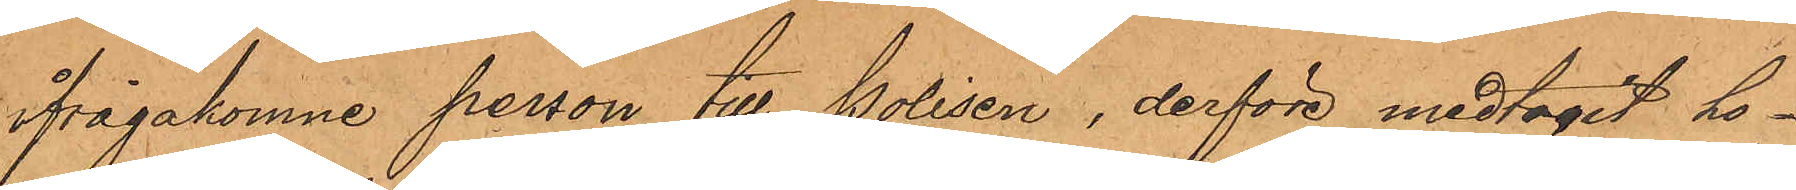ifrågakomne person till Polisen, derföre medtagit ho¬
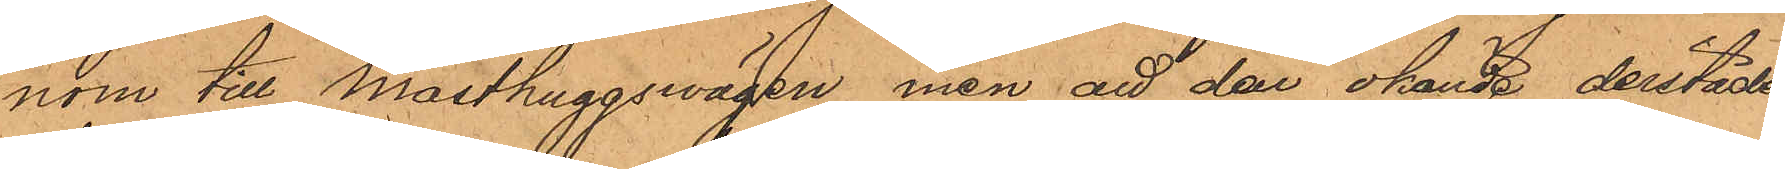nom till Masthuggswägen, men att den okände derstädes
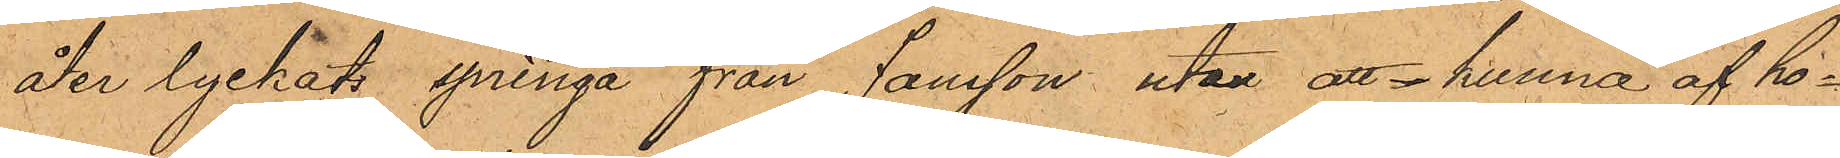åter lyckat springa från Jansson utan att  kunna af ho¬
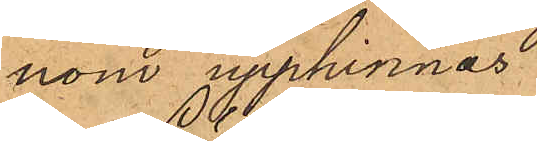nom upphinnas.
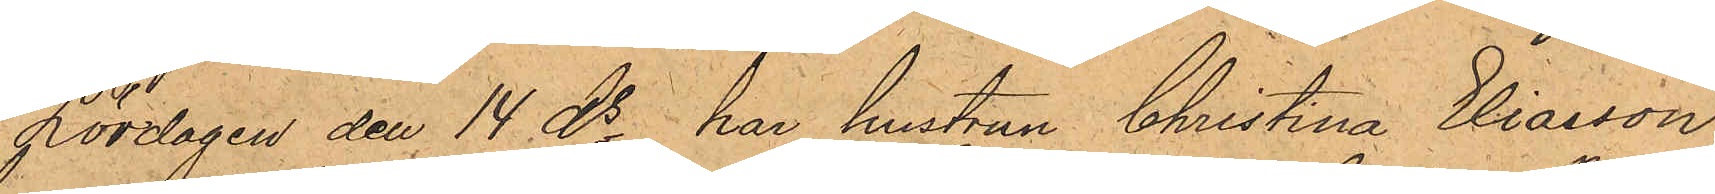Lördagen den 14 ds har hustrun Christina Eliasson,
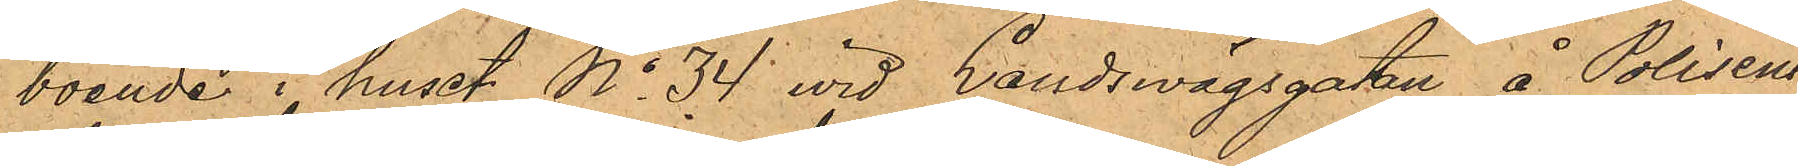boende i huset No 34 vid Landswägsgatan å Polisens
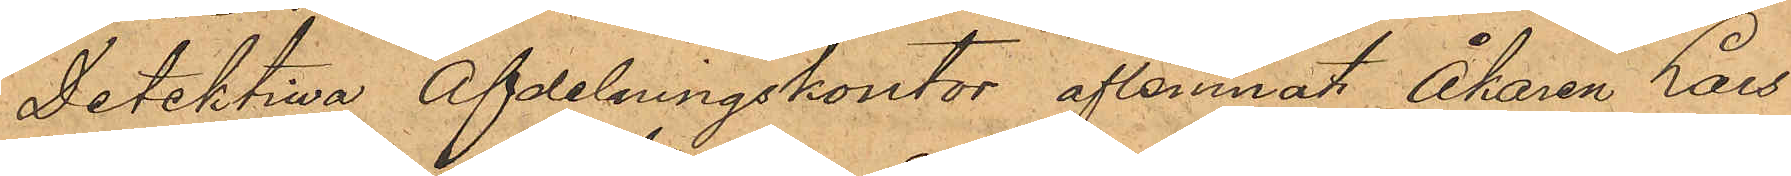Detektiva afdelningskontor aflemnat Åkaren Lars¬
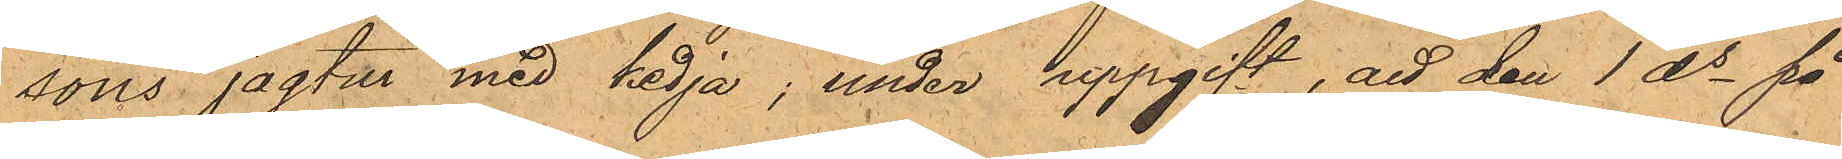sons jagtur med kedja; under uppgift, att den 1 ds på
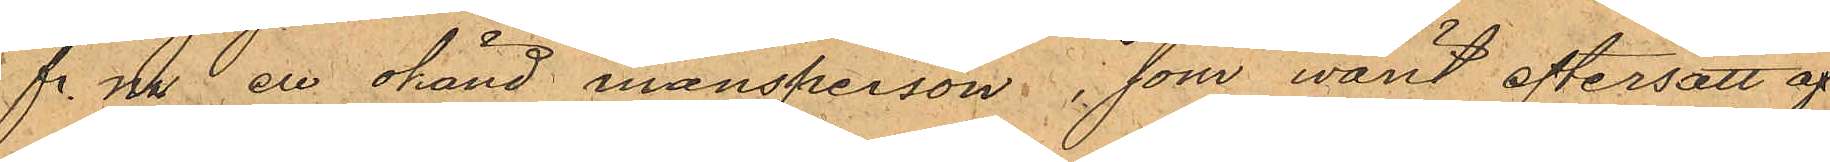f. m. en okänd mansperson, som varit eftersatt af
